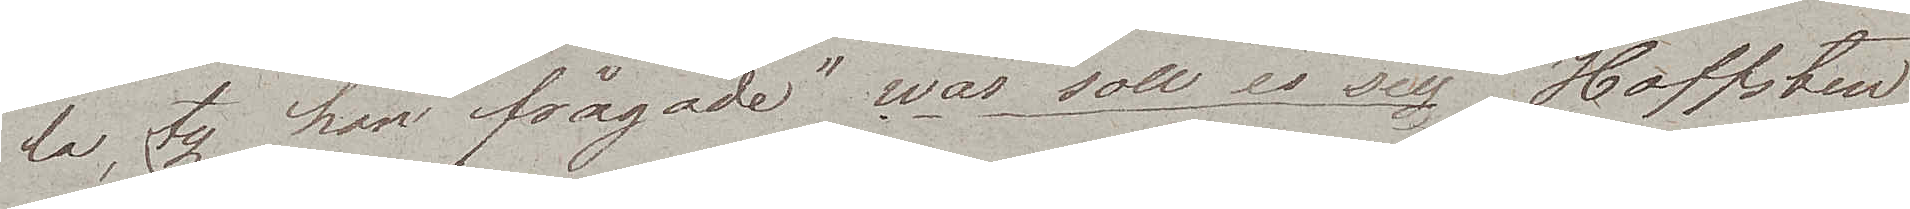la, ty han frågade "was soll es sein". Hoffsten
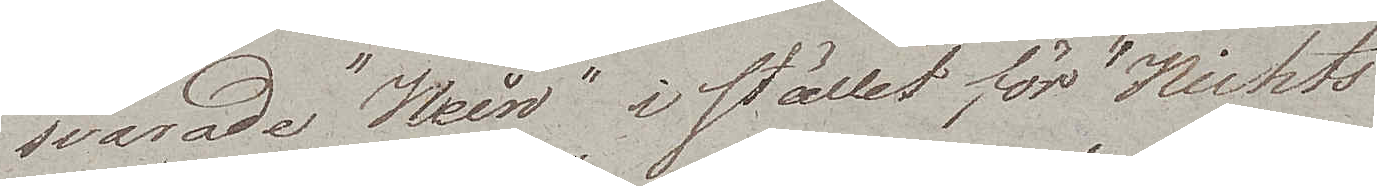svarade "Nein" i stället för "Nichts".
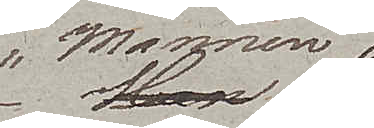Mannen
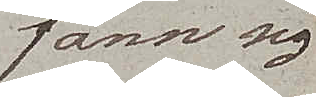fann sig
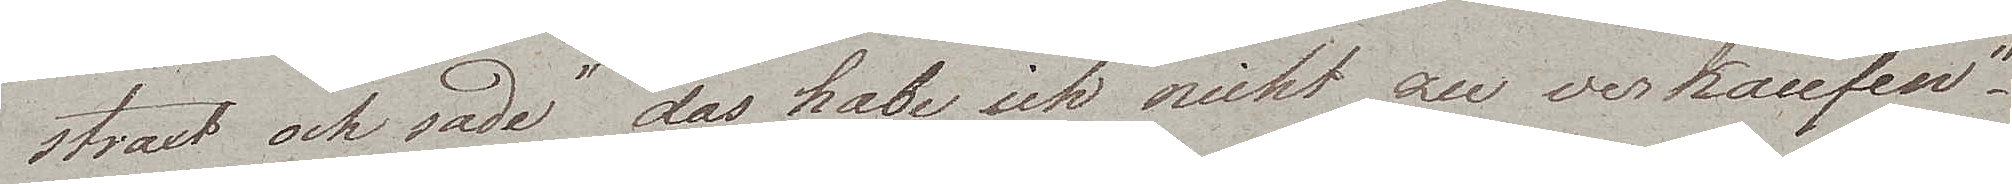straxt och sade "das habe ich nicht zu verkaufen".
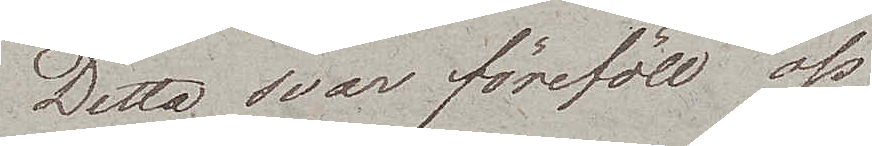Detta svar föreföll oss
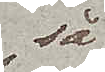så
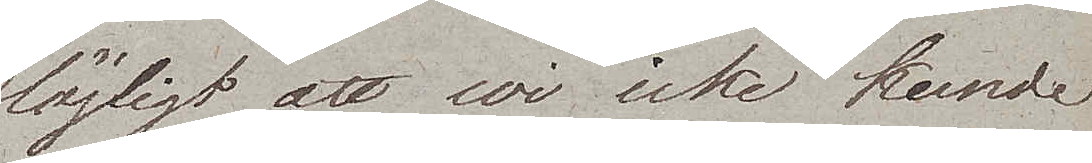löjligt att wi icke kunde
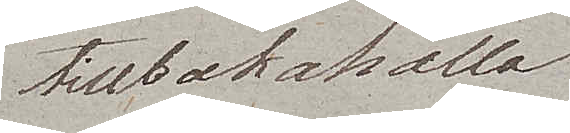tillbakahålla
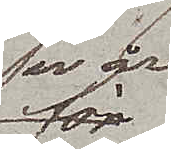wår
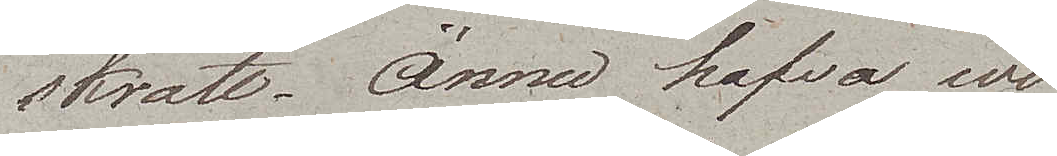skratt. Ännu hafva wi
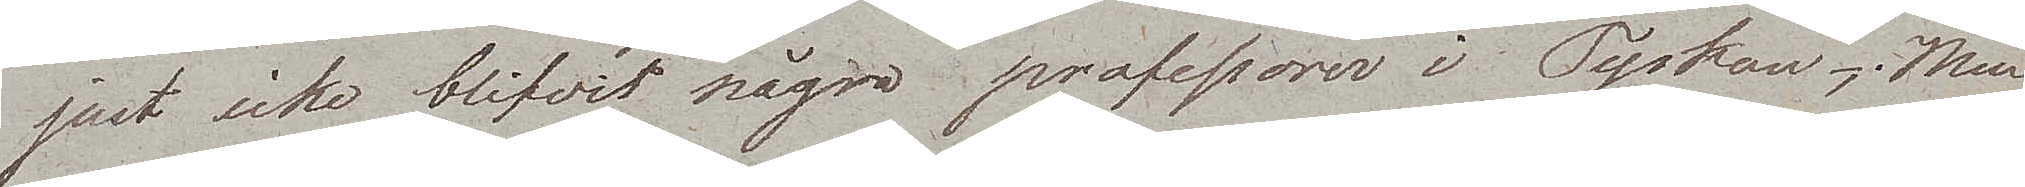just icke blifvit några professorer i Tyskan; Men
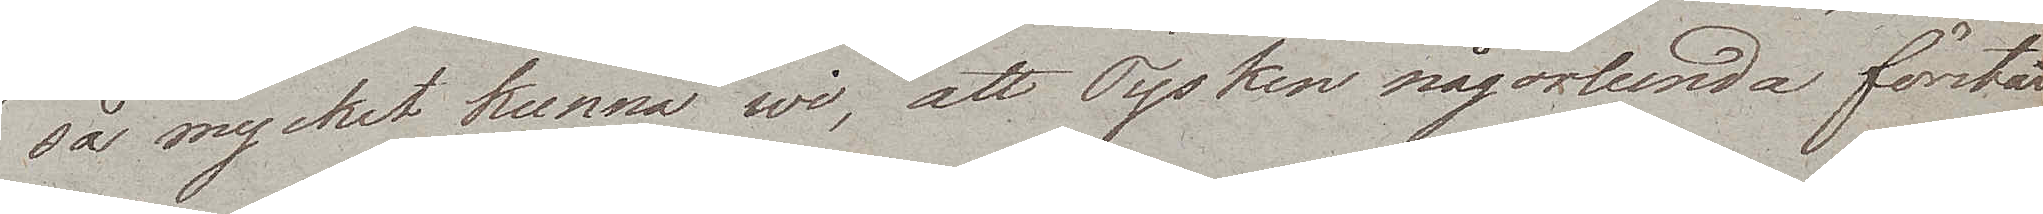så mycket kunna wi, att Tysken någorlunda förstår
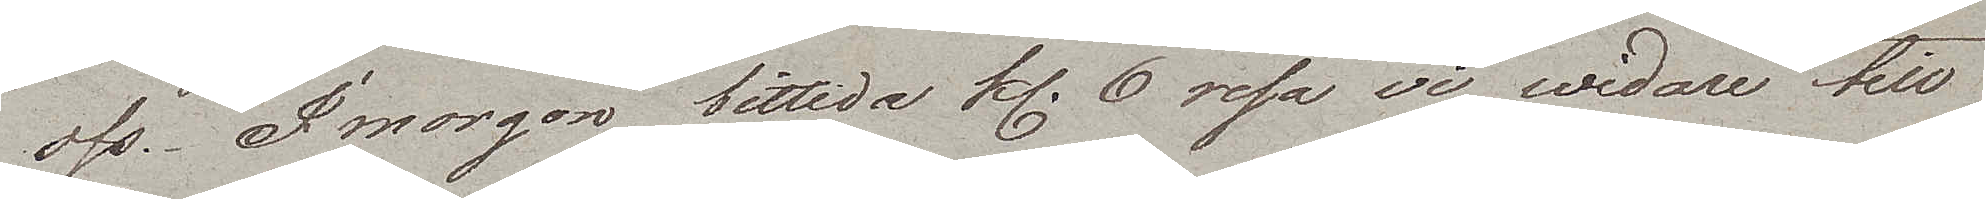oss. I morgon bittida kl. 6 resa vi widare till
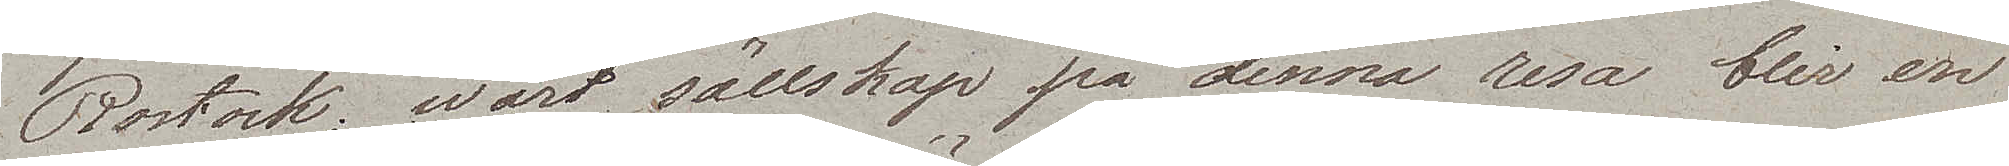Rostock; wårt sällskap på denna resa blir en
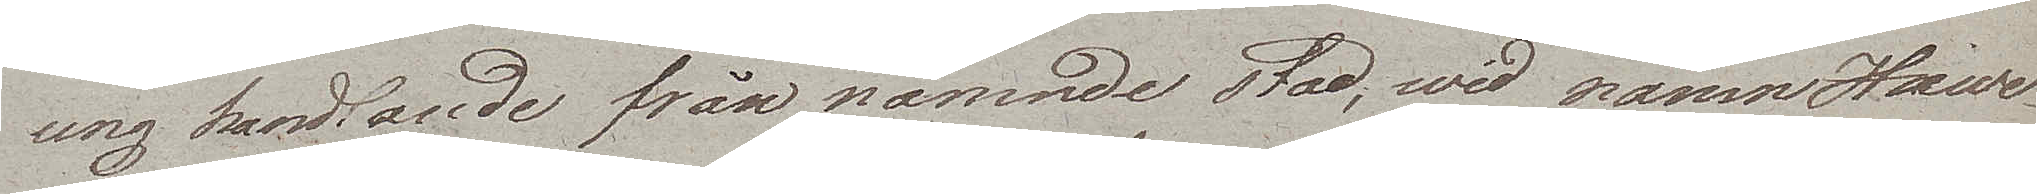ung handlande från nämnde stad, wid namn Hind¬
